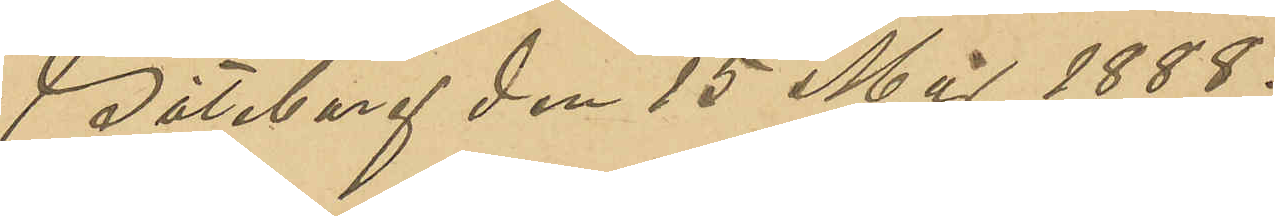Göteborg den 15 Maj 1888.
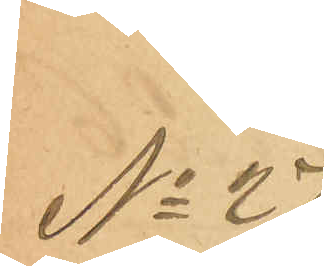No 27
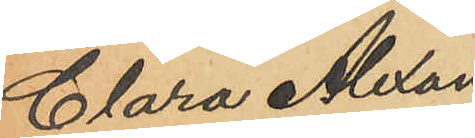Clara Alexan¬
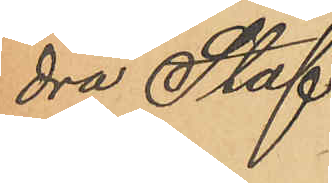dra Staf.
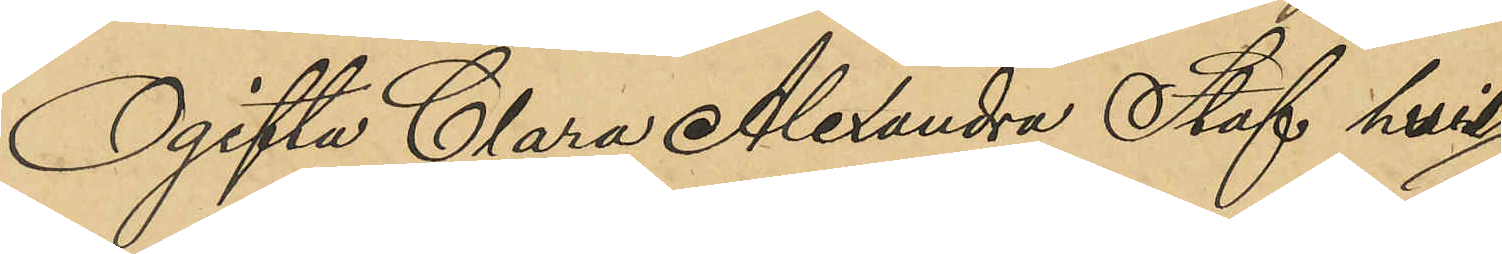Ogifta Clara Alexandra Staf hvil¬
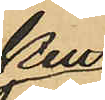ken
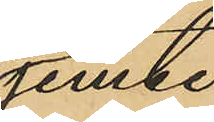jemte
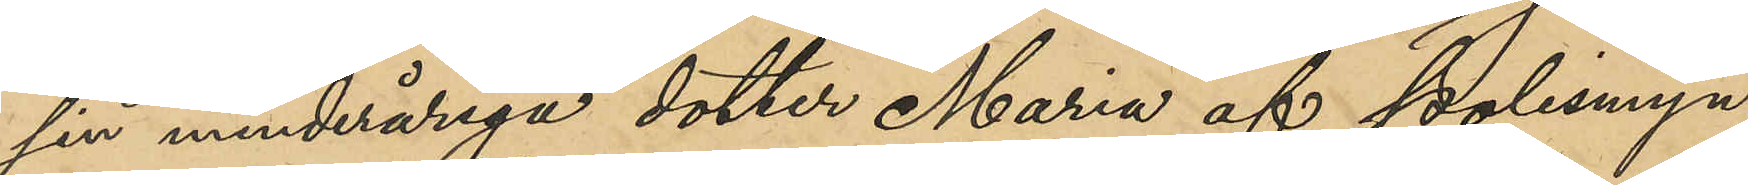sin minderåriga dotter Maria af polismyn¬
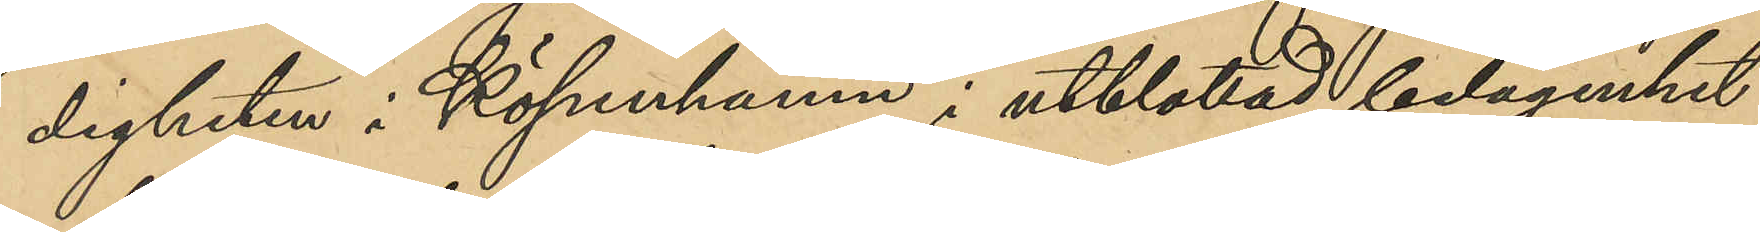digheten i Köpenhamn i utblottad belägenhet
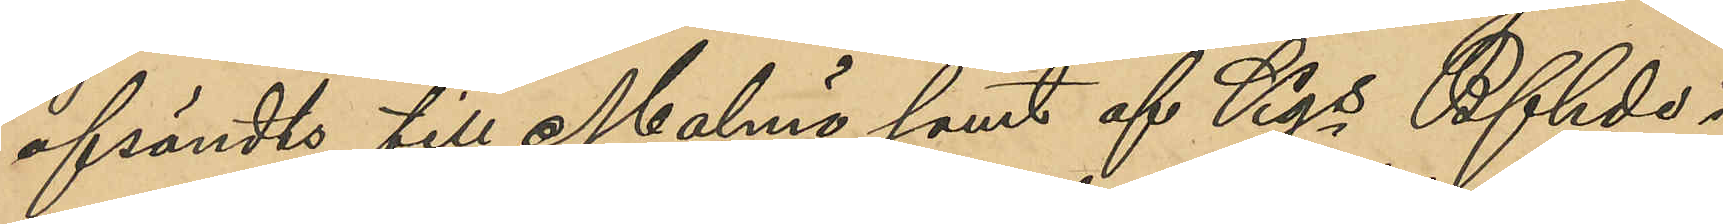afsändts till Malmö samt af Kgs Bfhde i
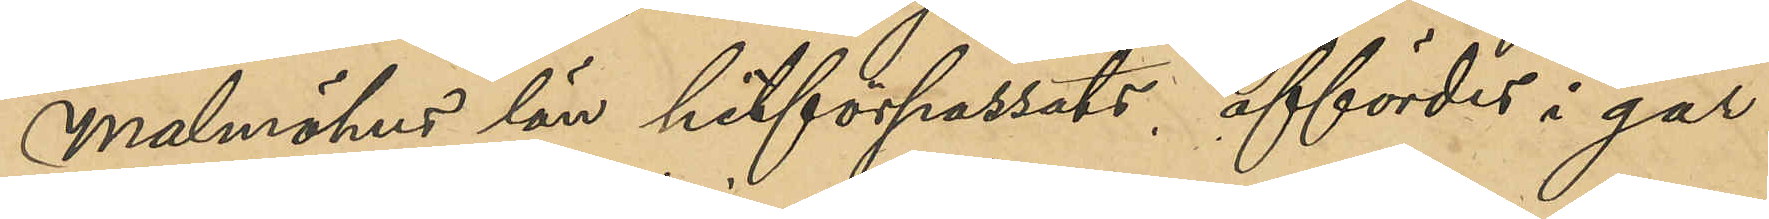Malmöhus län hitförpassats affördes i går
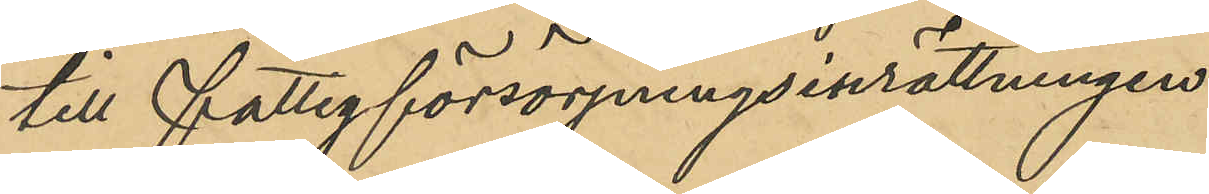till fattigförsörjningsinrättningen.
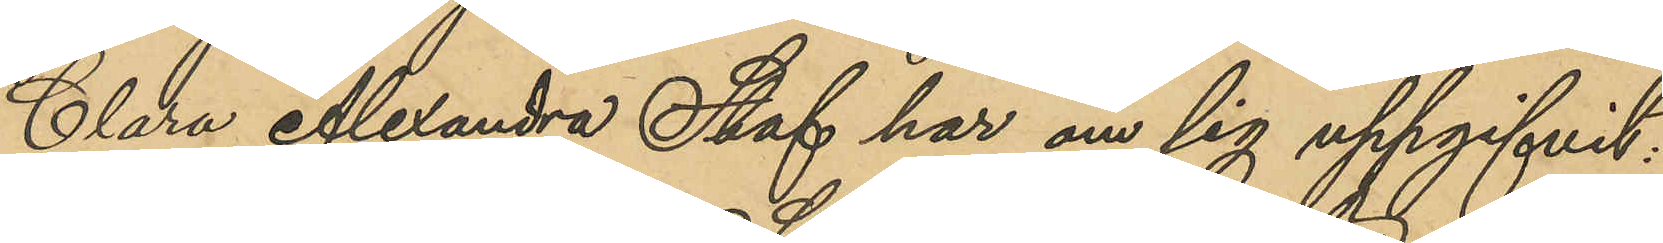Clara Alexandra Staf har om sig uppgifvit
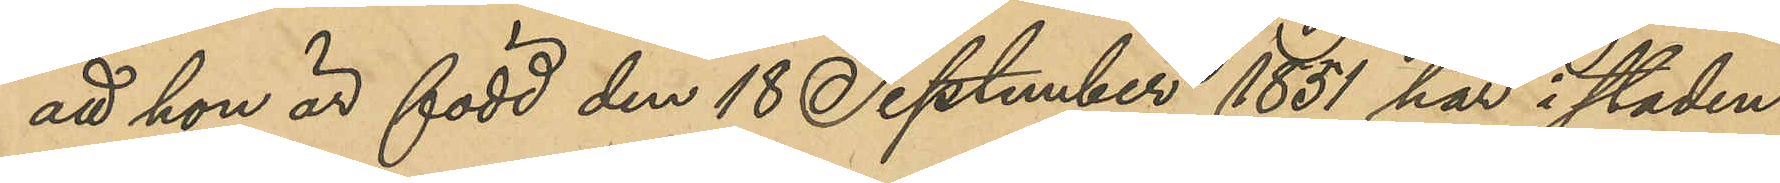att hon är född den 18 September 1851 här i staden
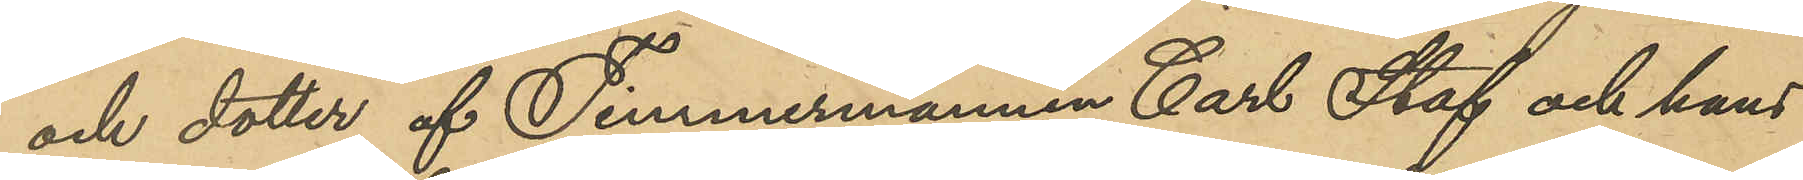och dotter till Timmermannen Carl Staf och hans
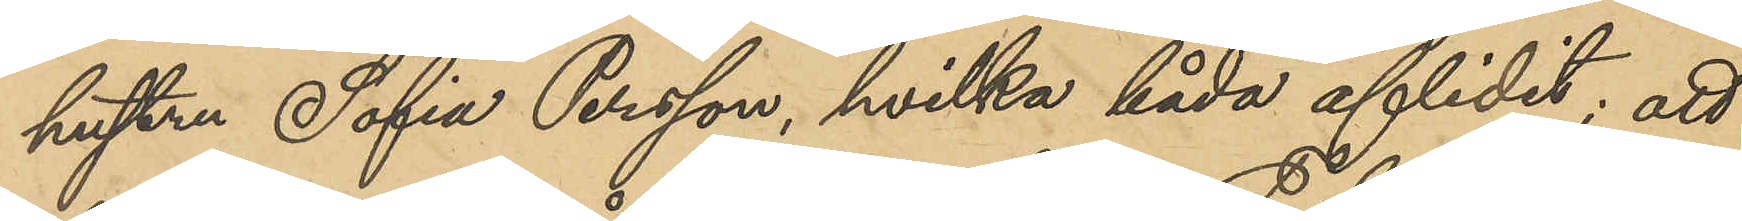hustru Sofia Persson, hvilka båda aflidit; att
